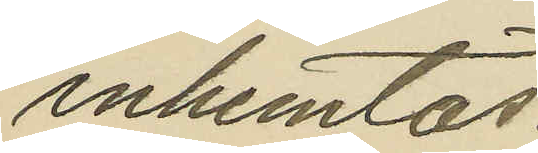inhemtas:
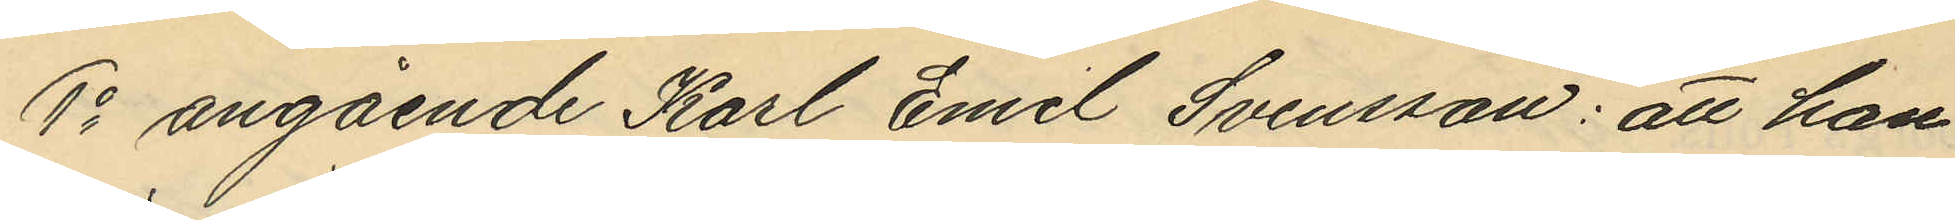1o angående Karl Emil Svensson: att han
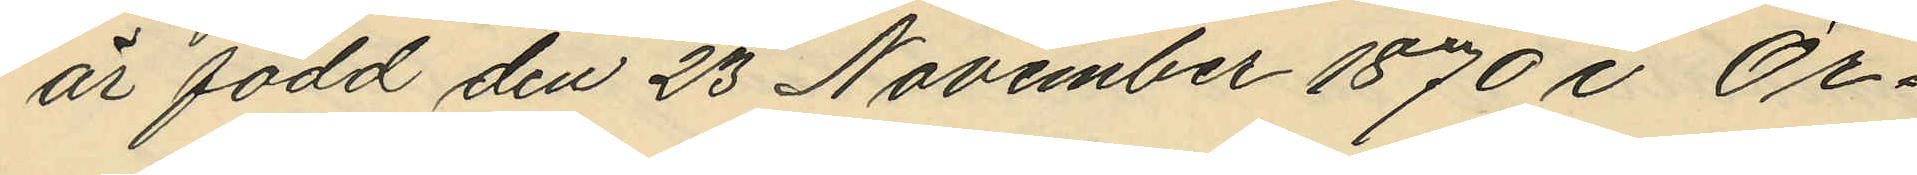är född den 23 November 1870 i Ör¬
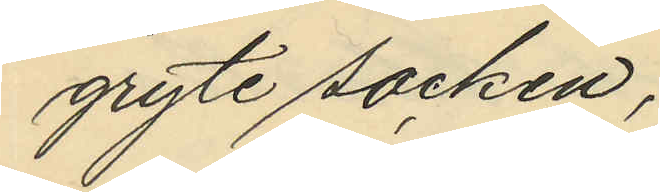gryte socken;
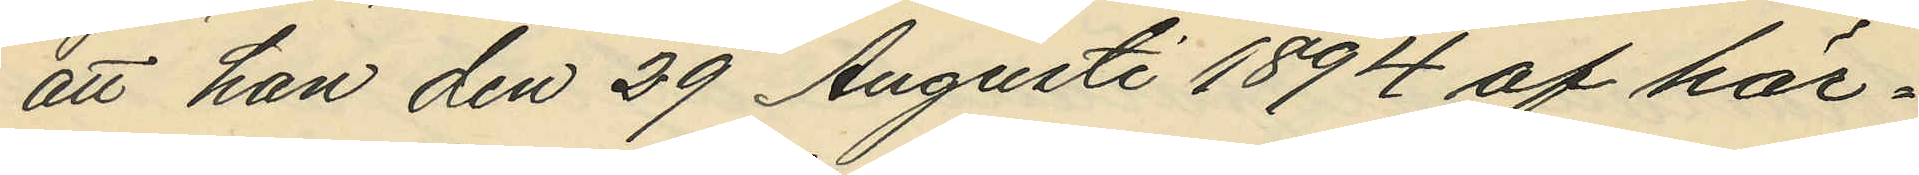att han den 29 Augusti 1894 af här¬
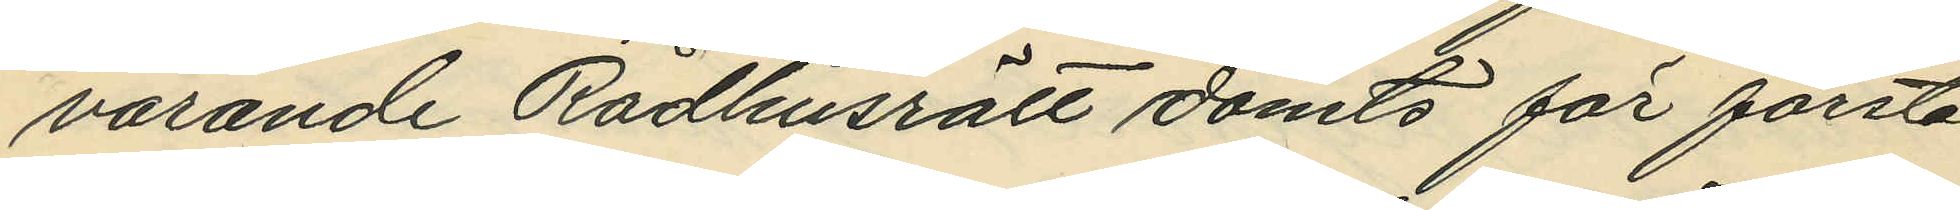varande Rådhusrätt dömts för första
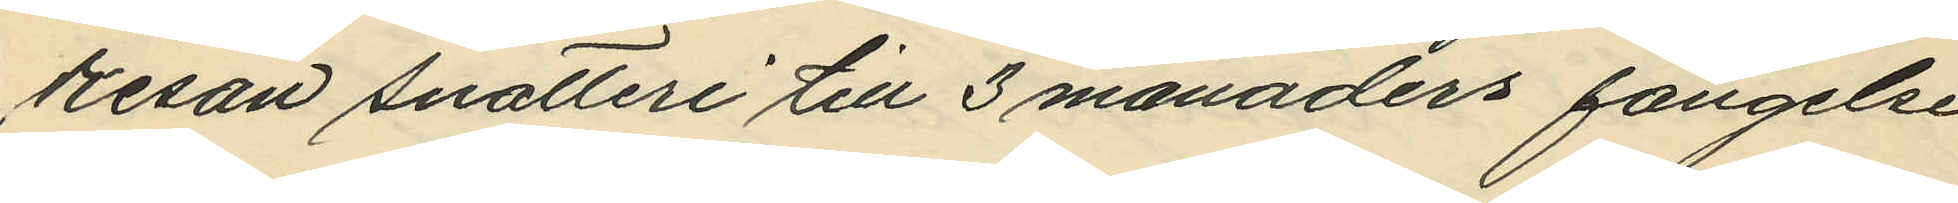resan snatteri till 3 månaders fängelse
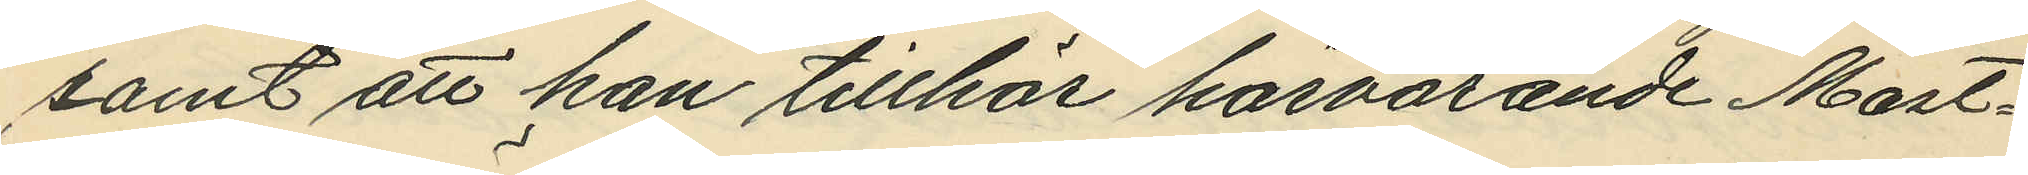samt att han tillhör härvarande Mast¬
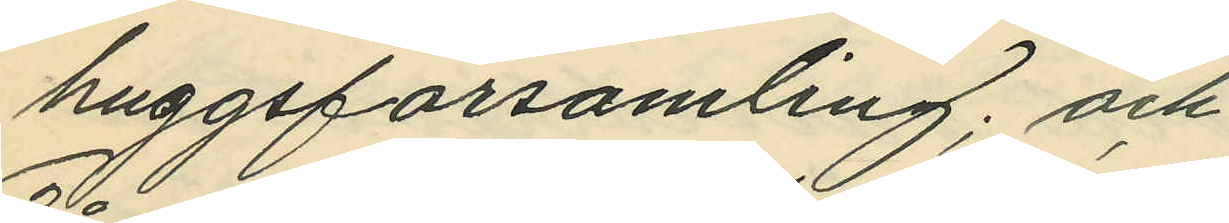huggsförsamling; och
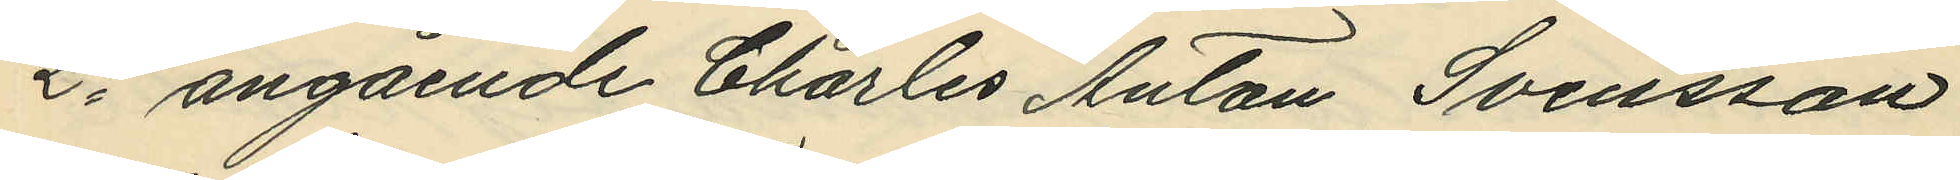2o angående Charles Anton Svensson
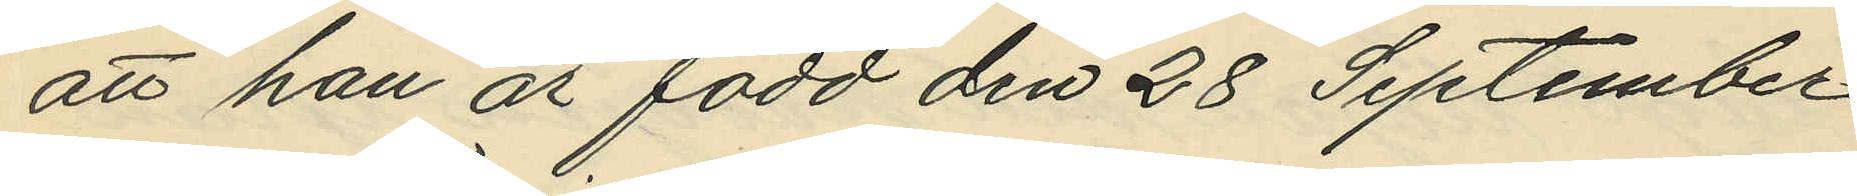att han är född den 28 September
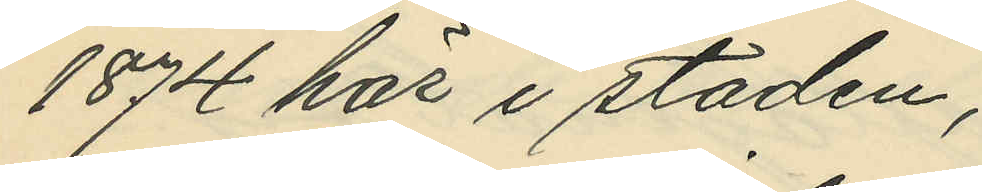1874 här i staden;
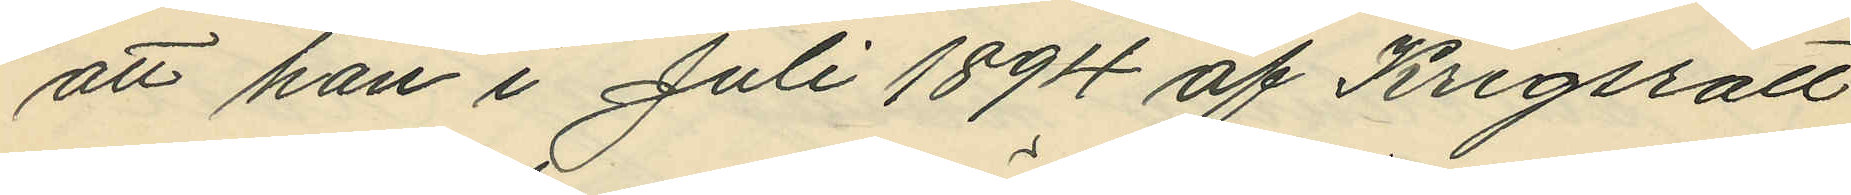att han i Juli 1894 af Krigsrätt
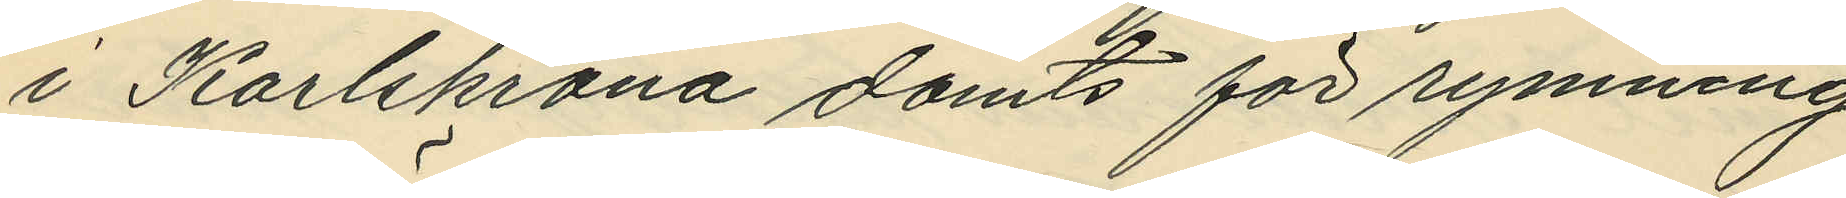i Karlskrona dömts för rymning
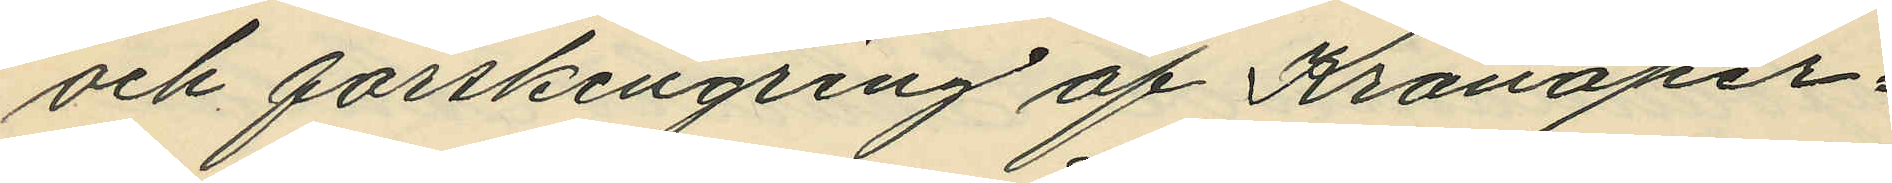och förskingring af Kronoper¬
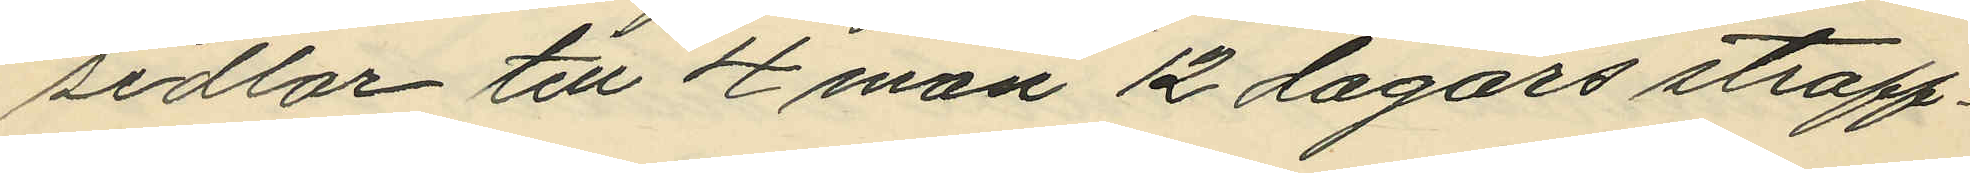sedlar till 4 mån 12 dagars straff¬
